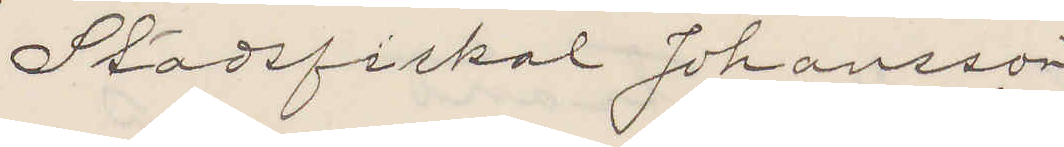Stadsfiskal Johansson
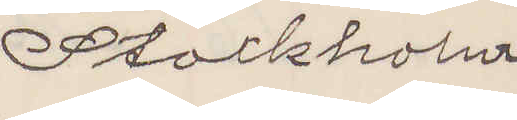Stockholm
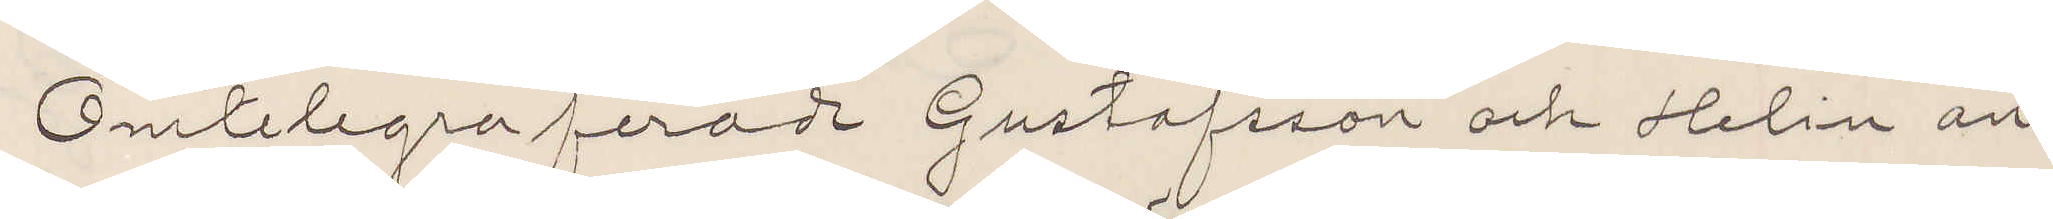Omtelegraferade Gustafsson och Helin an¬
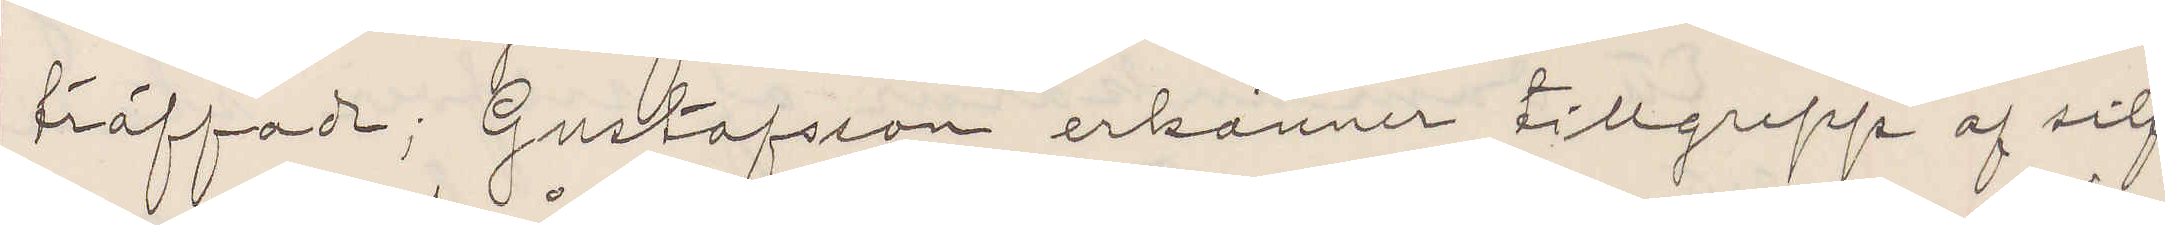träffade; Gustafsson erkänner tillgrepp af silf¬
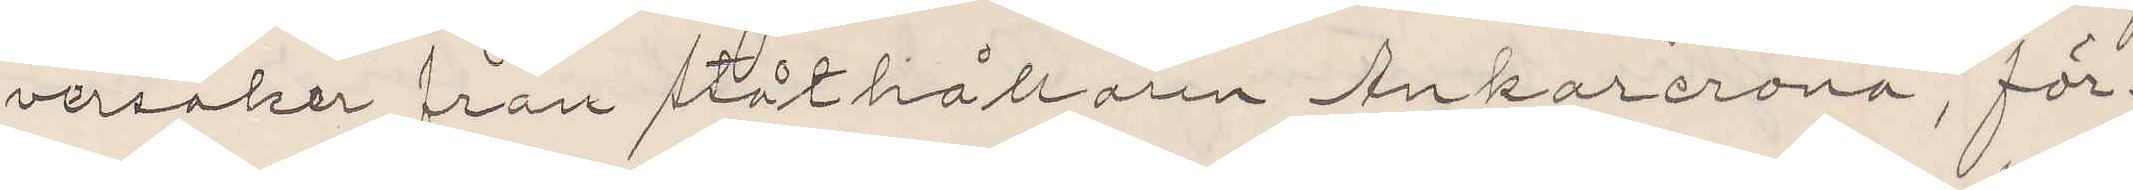versaker från ståthållaren Ankarcrona, för¬
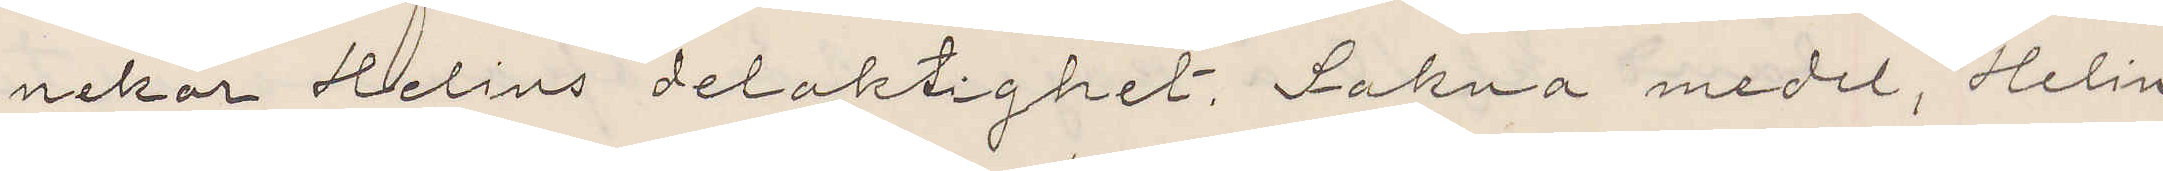nekar Helins delaktighet. Sakna medel, Helin
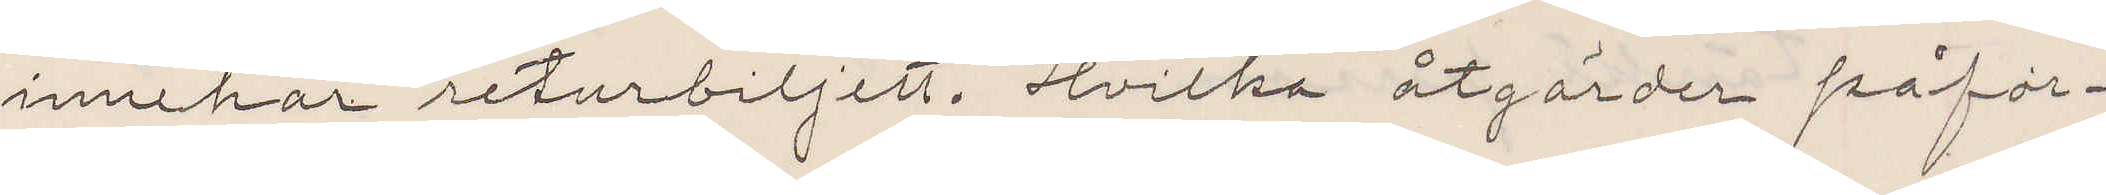innehar returbiljett. Hvilka åtgärder påfor¬
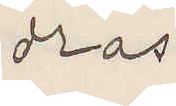dras.
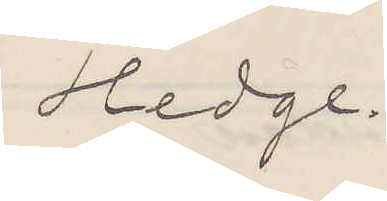Hedge.
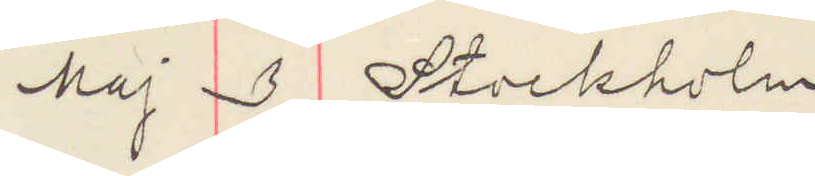Maj 3 Stockholm
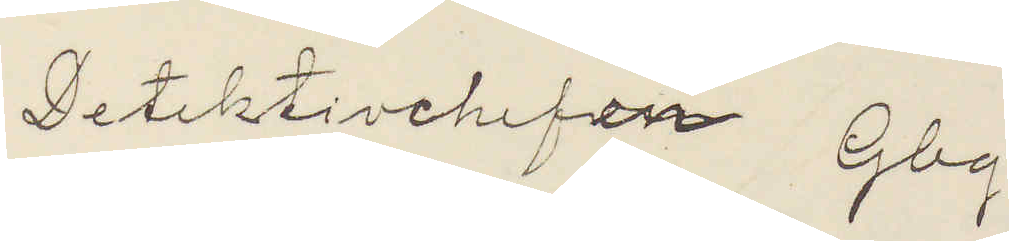Detektivchefen Gbg.
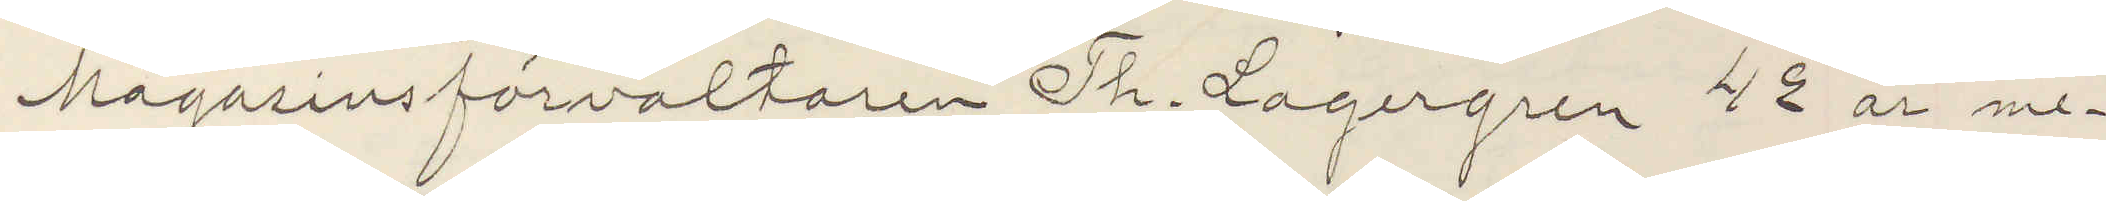Magasinsförvaltaren Th. Lagergren 42 år me¬
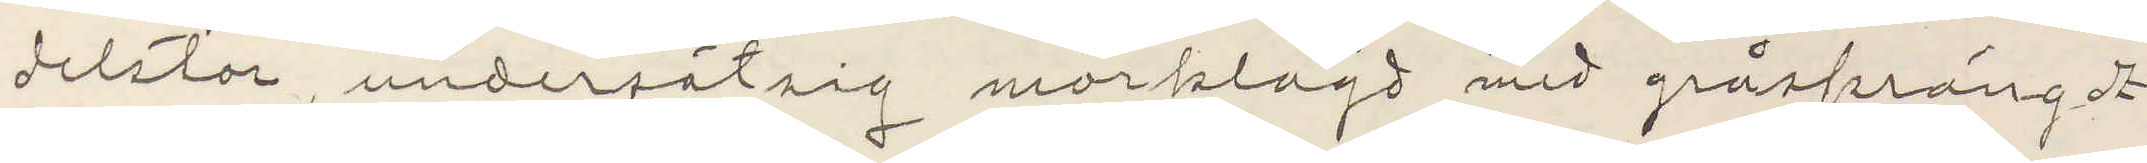delstor, undersätsig mörklagd med gråsprängdt
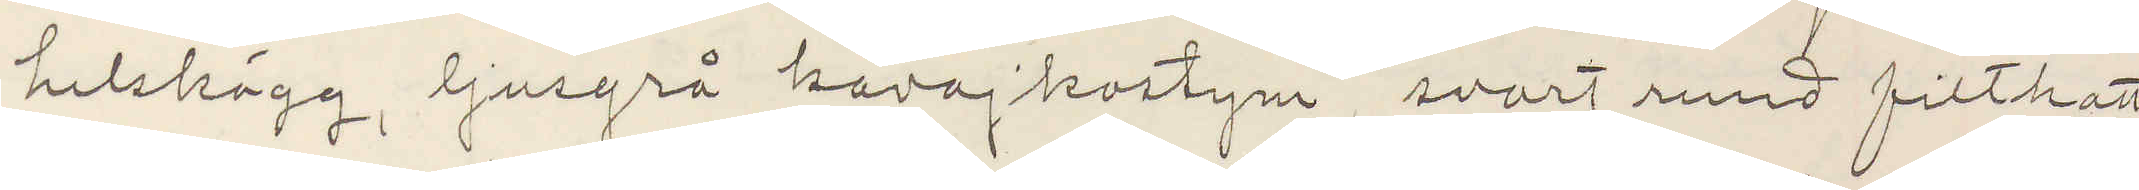helskägg, ljusgrå kavajkostym, svart rund filthatt
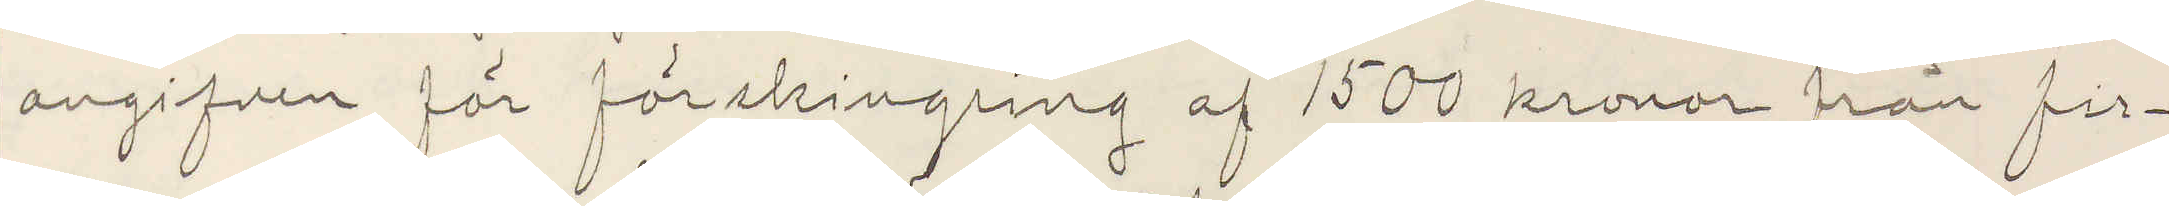angifven för förskingring af 1500 kronor från fir¬
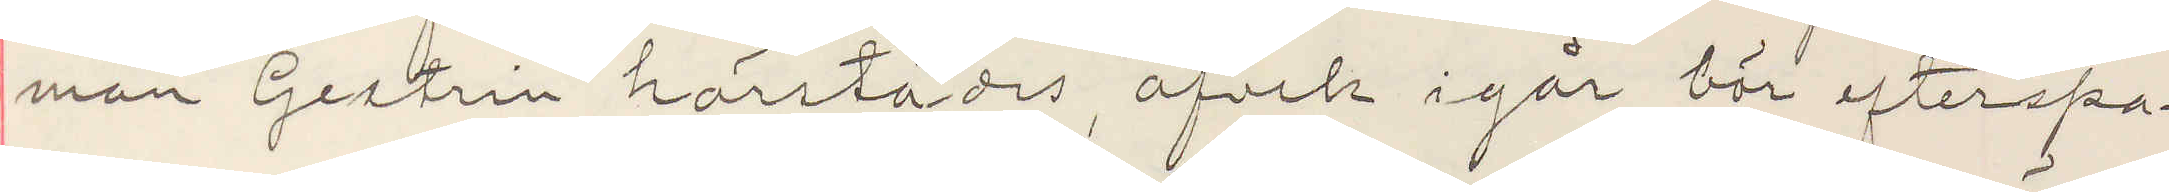man Gestrin härstädes, afvek igår bör efterspa¬
